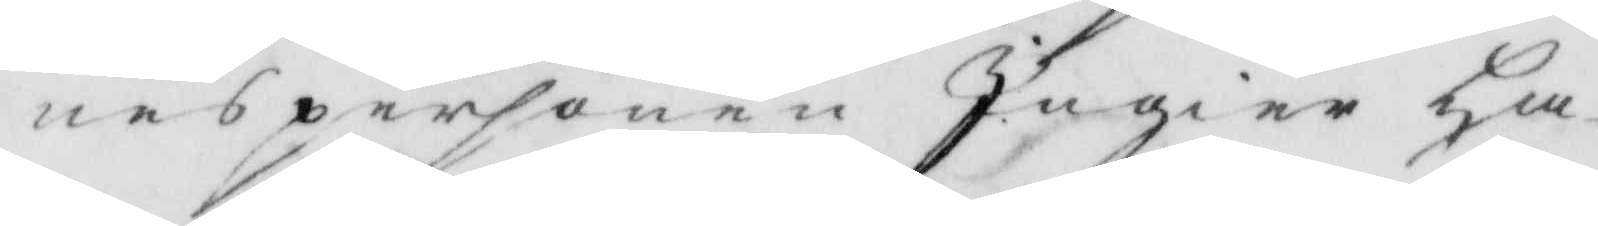nespersonen Ingier Ha¬
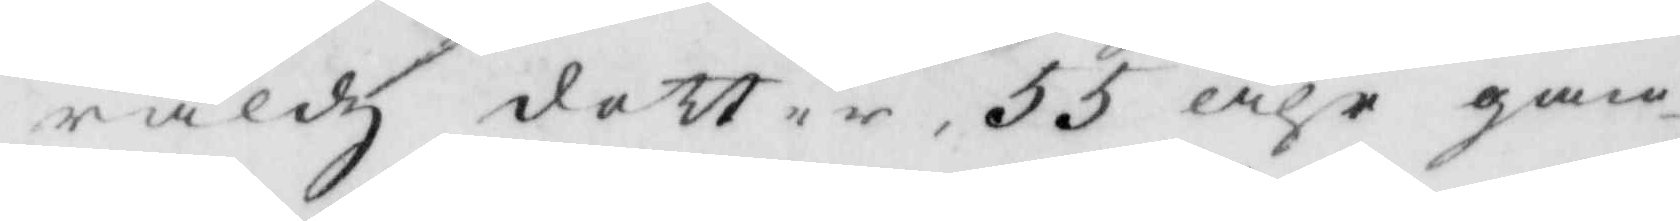raldz dotter, 55 åhr gam¬
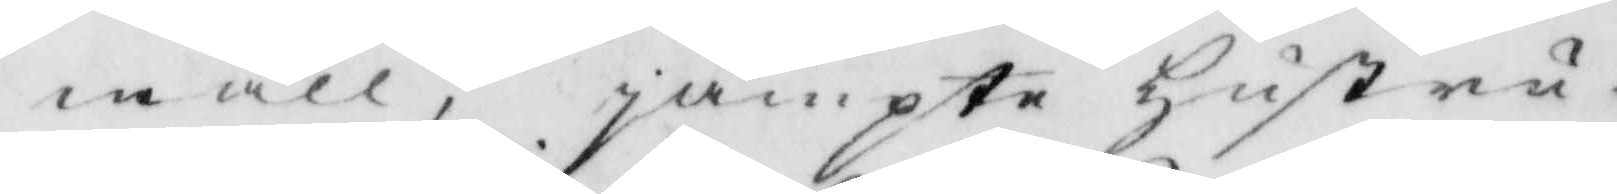mall, jämpte Hustru¬
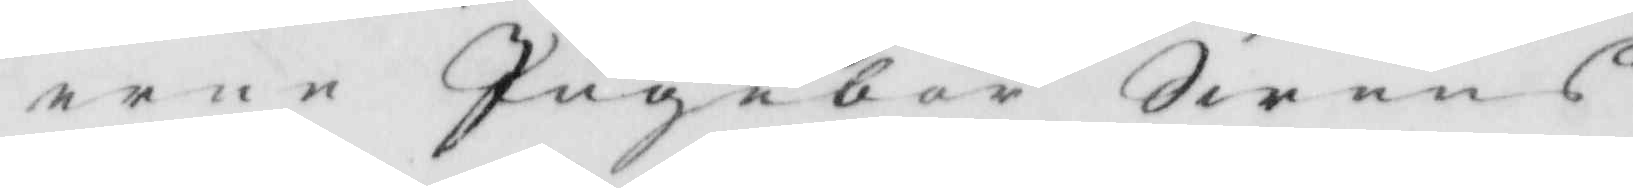erne Ingebor Swens
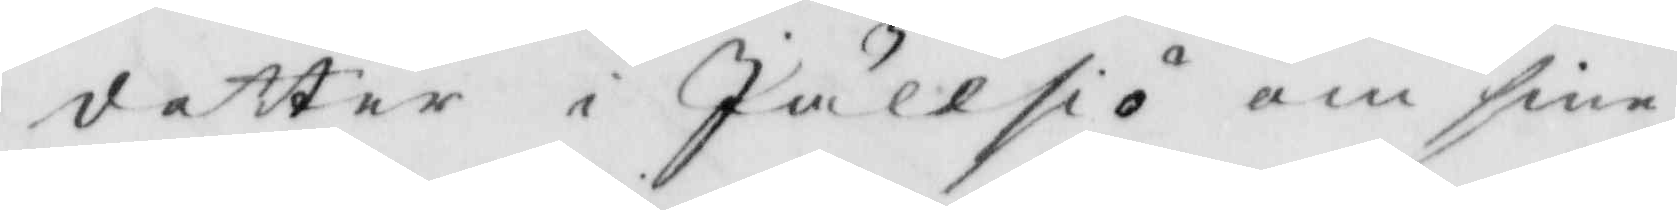dotter i Jällsiö om sine
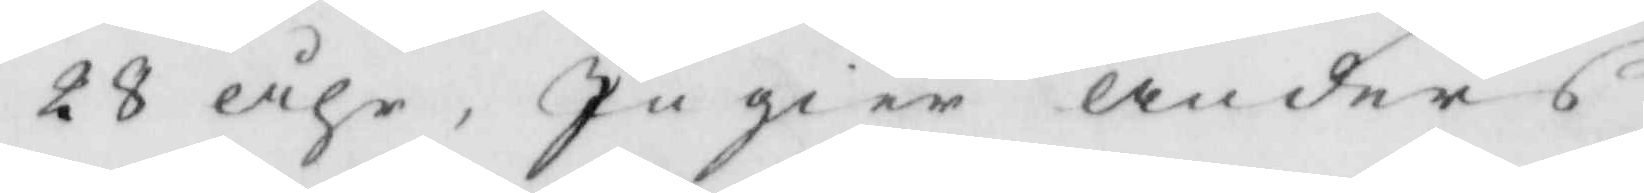28 åhr, Ingier Anders
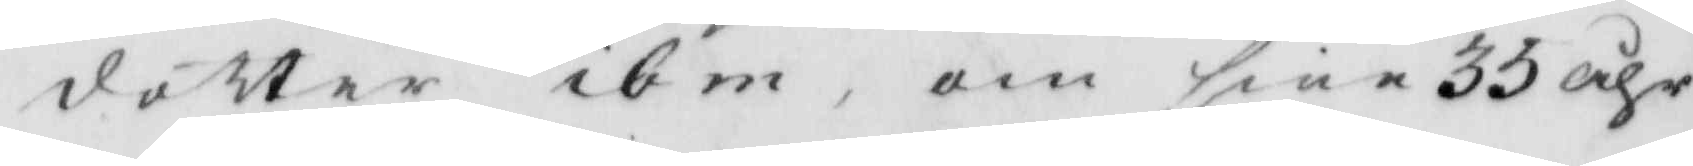dotter ibm, om sine 35 åhr
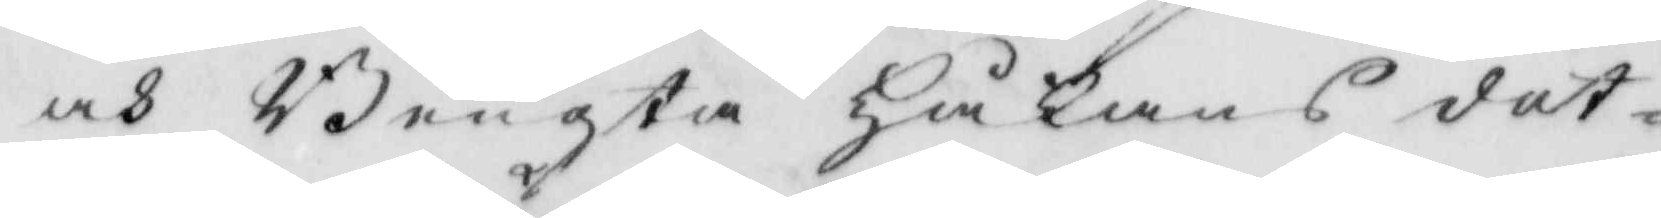ock Bengta Håkans dot¬
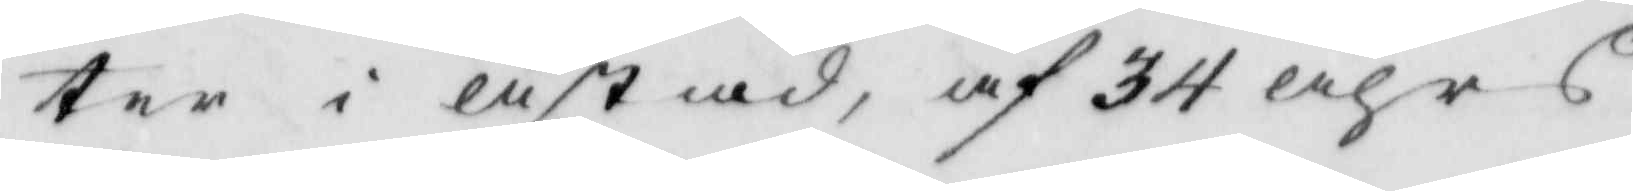ter i Ästad, af 34 åhrs
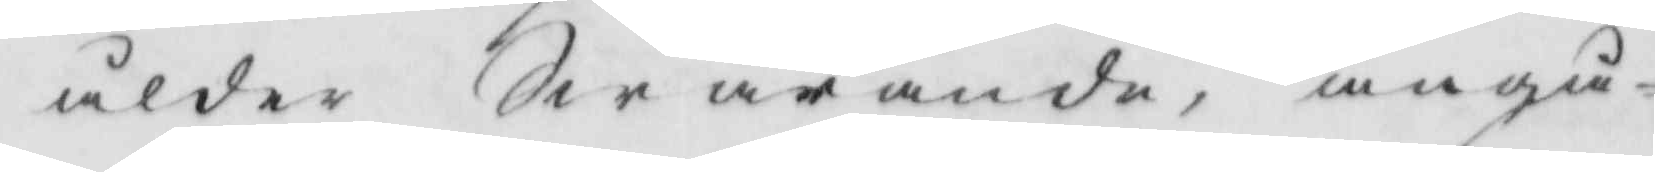ålder Swarnade, angå¬
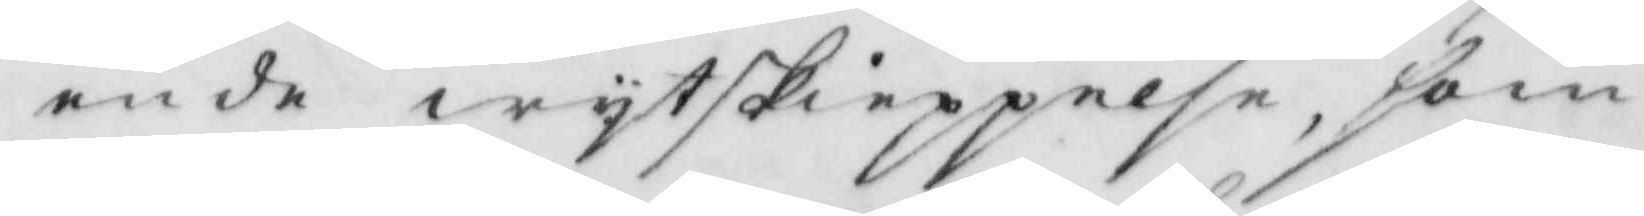ende wytskieppelse, som
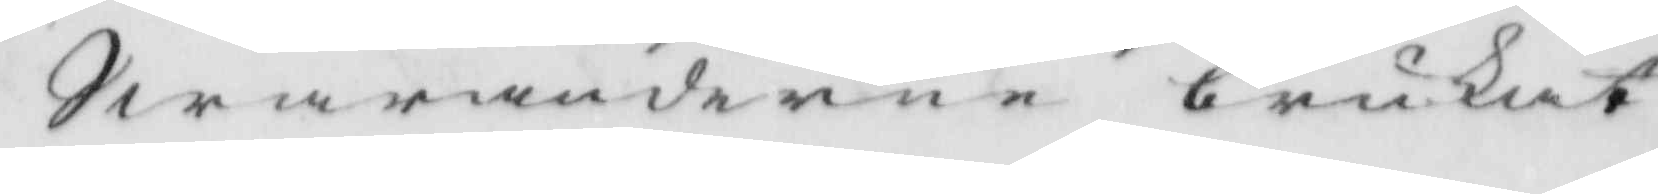Swaranderne brukat
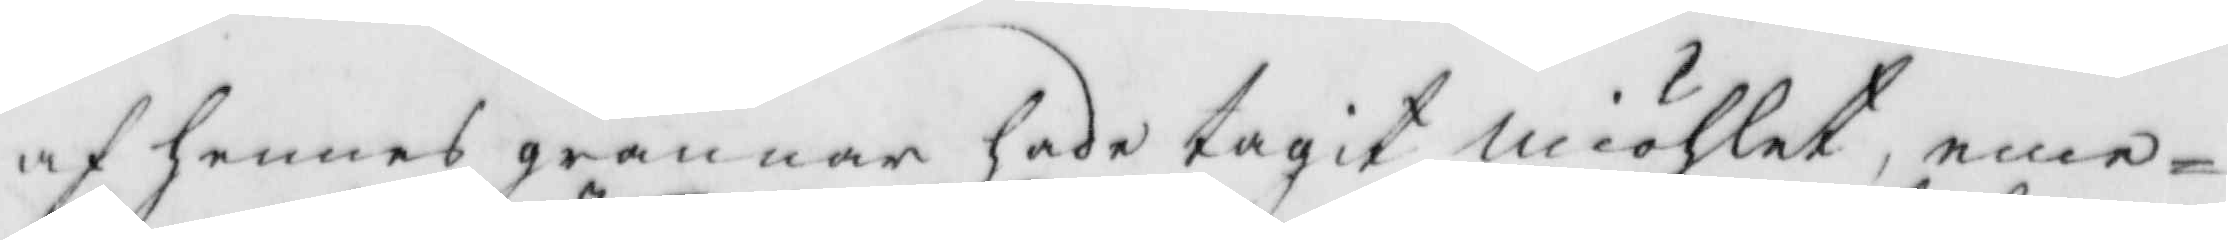af hennes grannar hade tagit miöhlet, eme¬
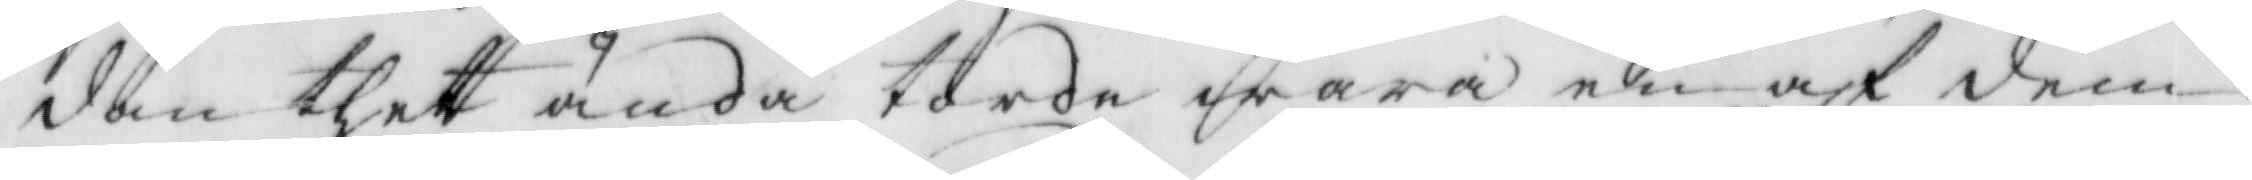dan thet ändå torde wara en af dem:
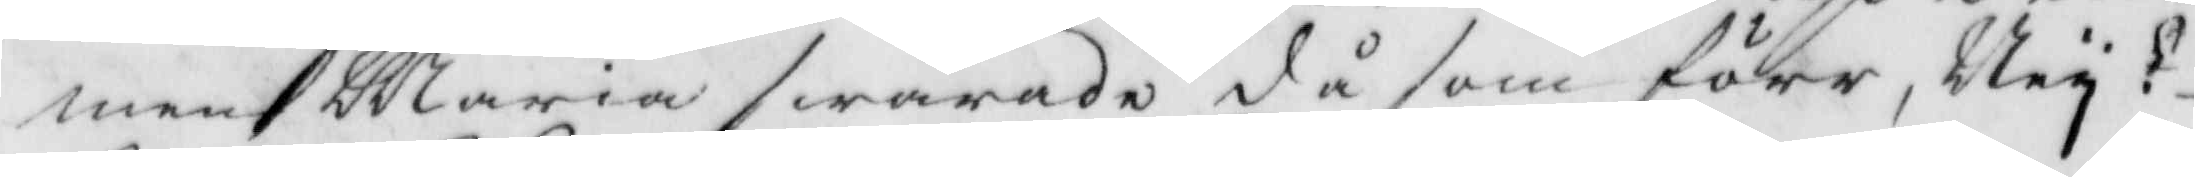men Maria swarade då som förr; Ney!
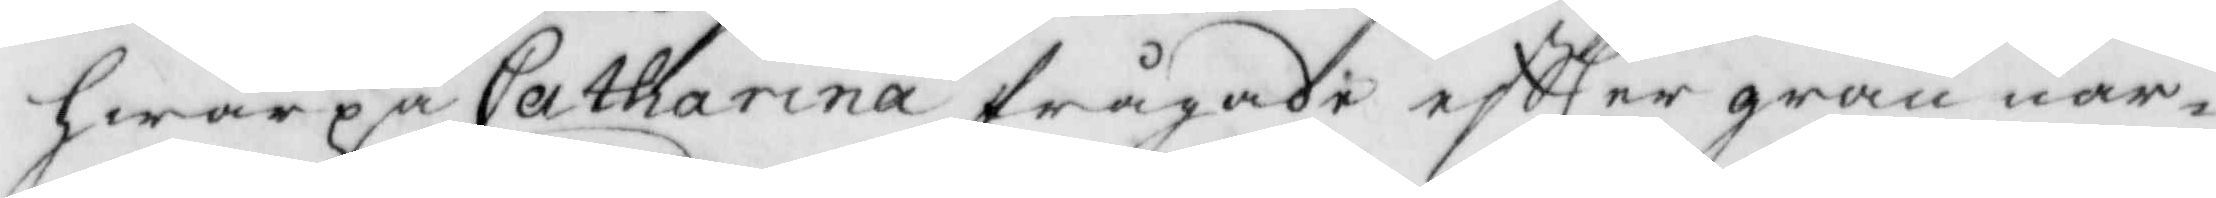hwarpå Catharina frågade eftter gran nar¬
